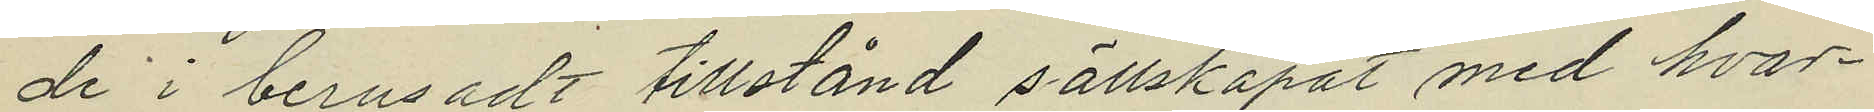de i berusadt tillstånd sällskapat med hvar¬
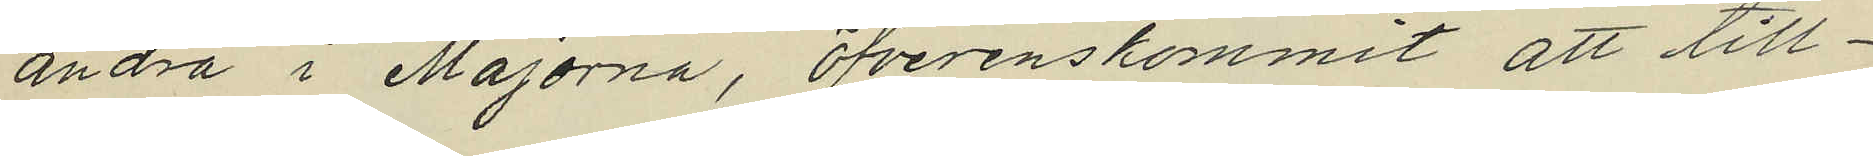andra i Majorna, öfverenskommit att till¬
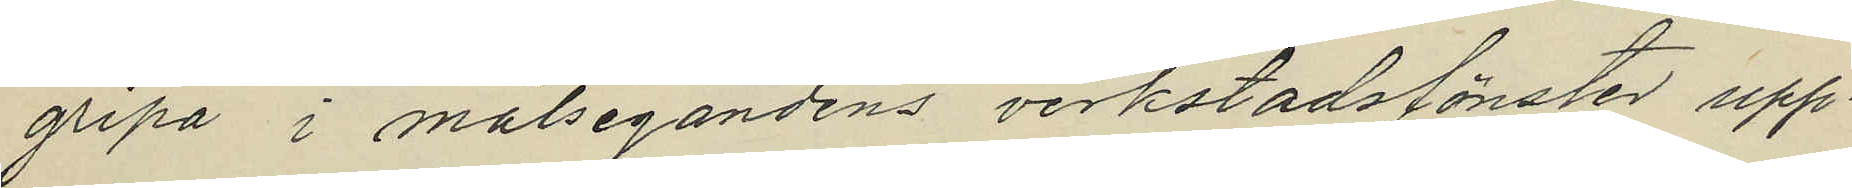gripa i målsegandens verkstadsfönster upp¬
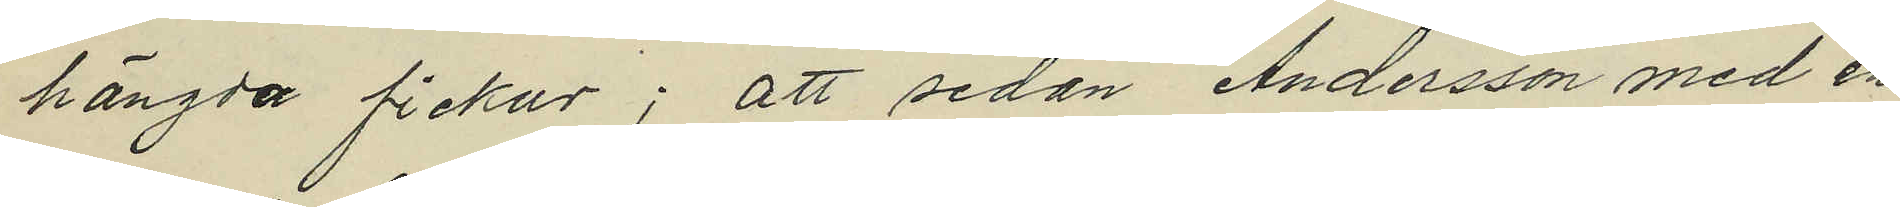hängda fickur; att sedan Andersson med en
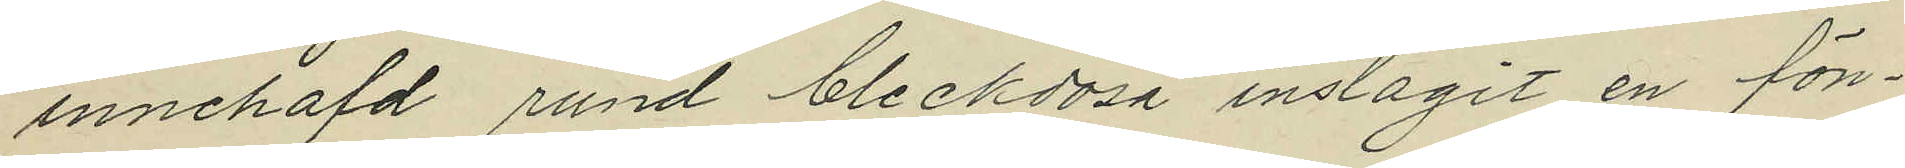innehafd rund bleckdosa inslagit en fön¬
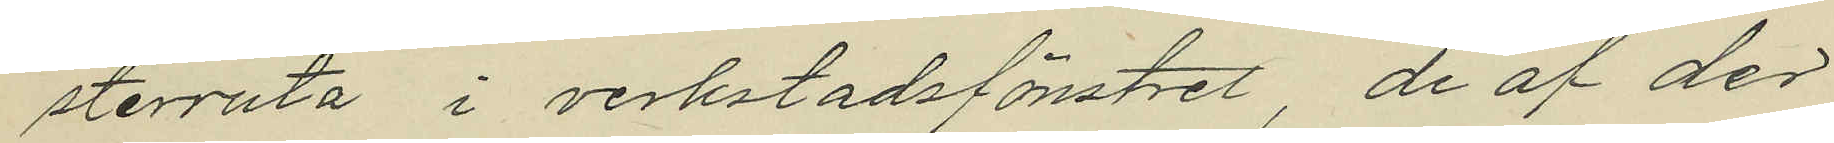sterruta i verkstadsfönstret, de af der
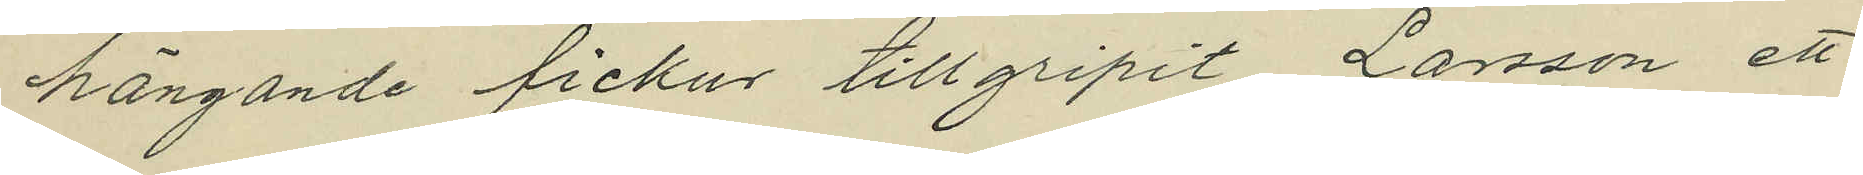hängande fickur tillgripit Larsson, ett
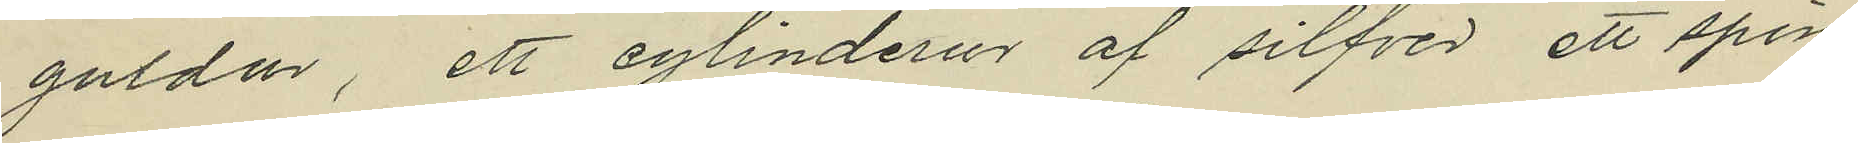guldur, ett cylinderur af silfver ett spin¬
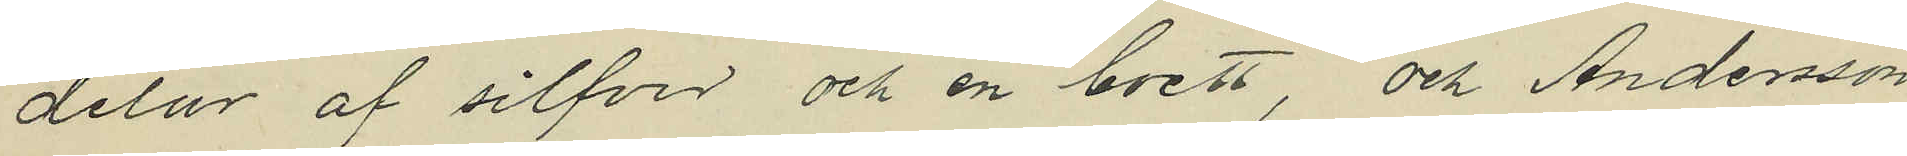delur af silfver och en boett, och Andersson
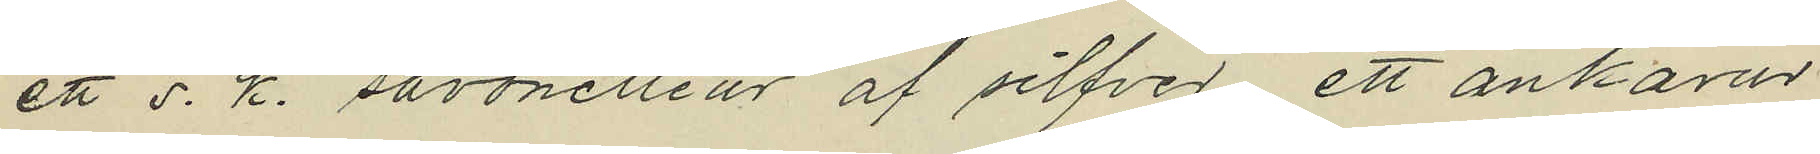ett s. k. savonetteur af silfver, ett ankarur
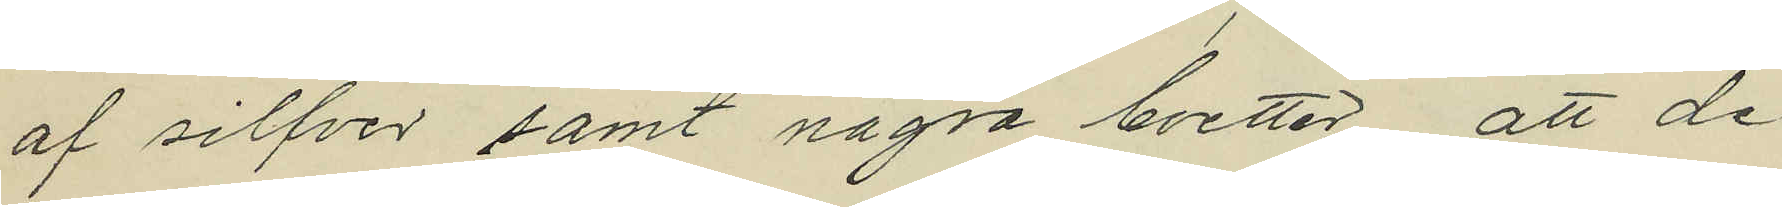af silfver samt några boetter, att de
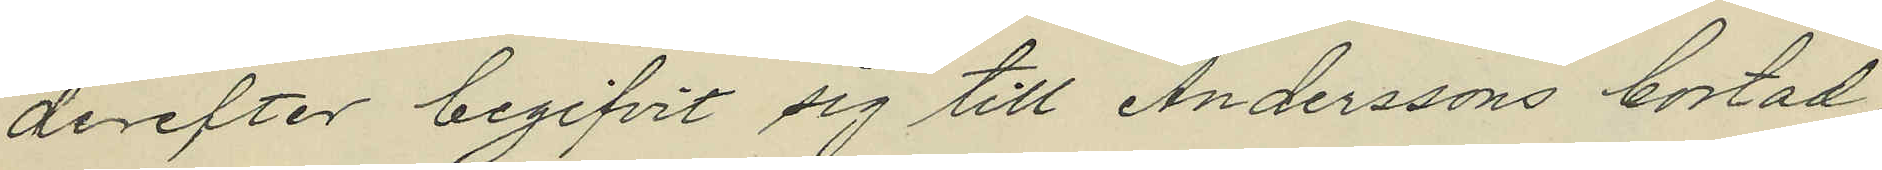derefter begifvit sig till Anderssons bostad
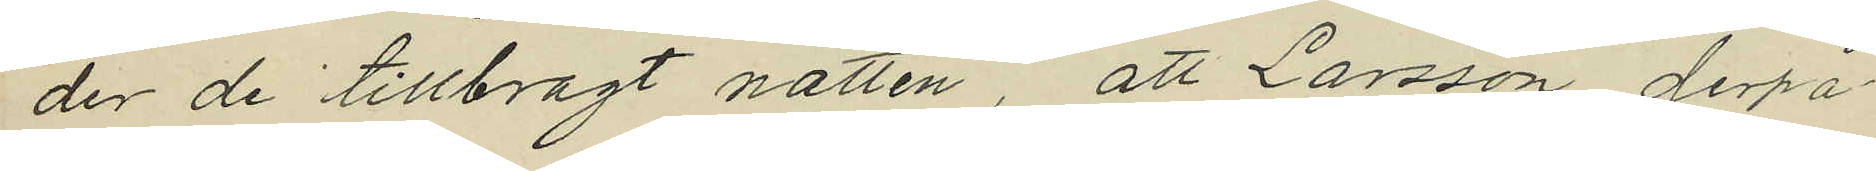der de tillbragt natten, att Larsson derpå¬
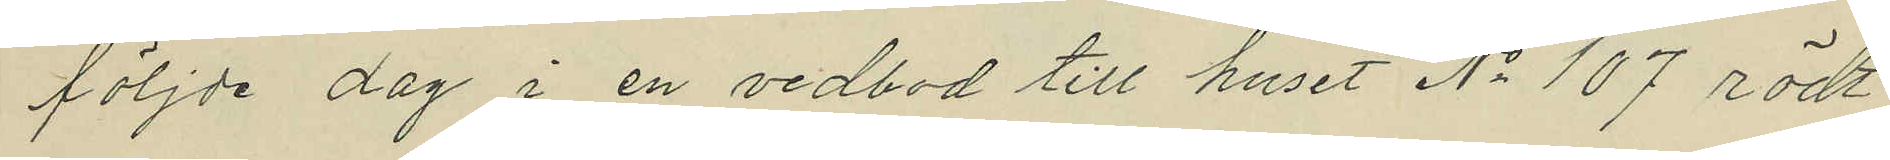följde dag i en vedbod till huset No 107 rödt
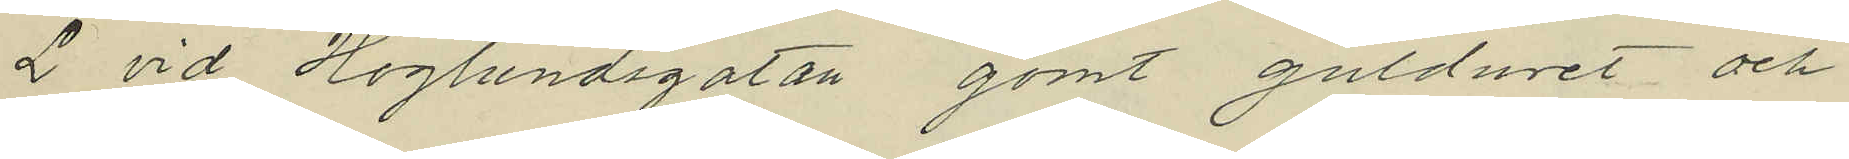L vid Höglundsgatan gömt gulduret och
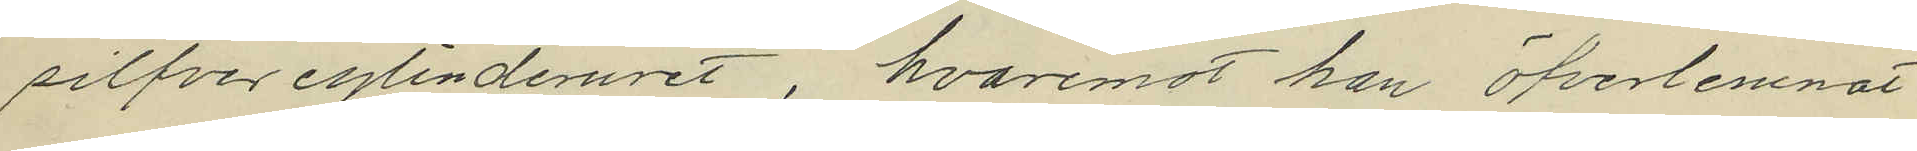silfver cylinderuret, hvaremot han öfverlemnat
